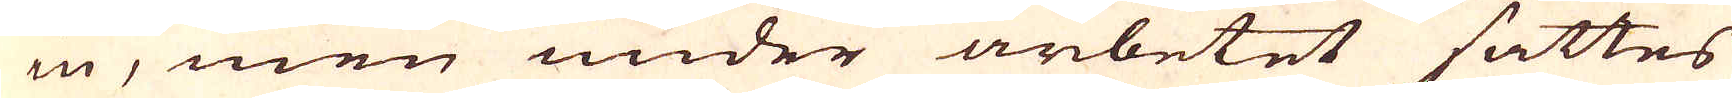in, men under anbetet sattes
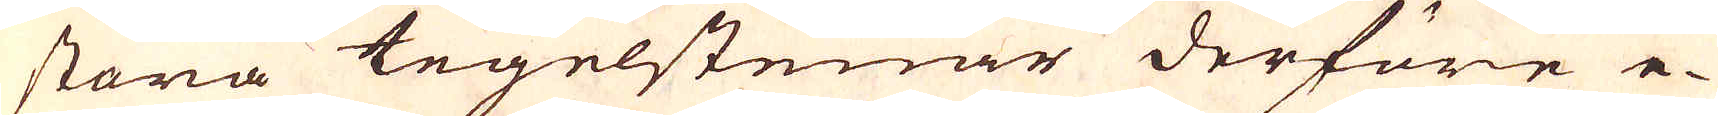stora tegelstenar derföre e-
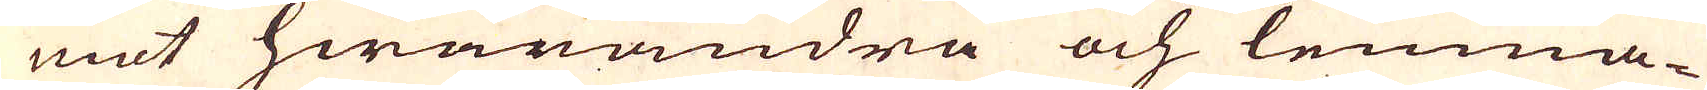mot hwarandra och lemna-
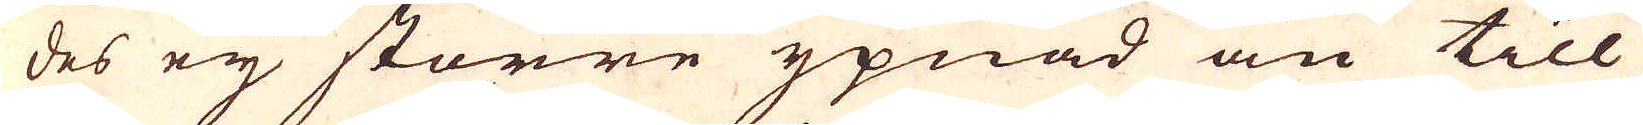des ey större ypnad än till
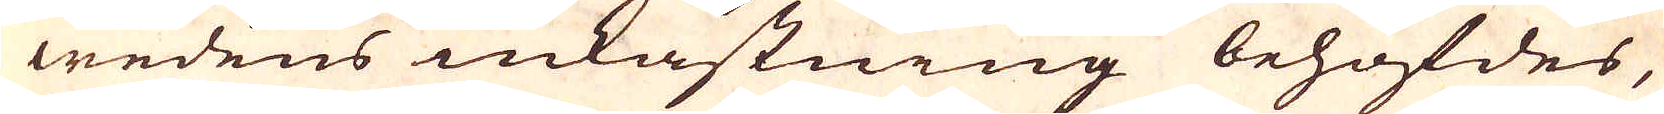wedens inkastning behöfdes,
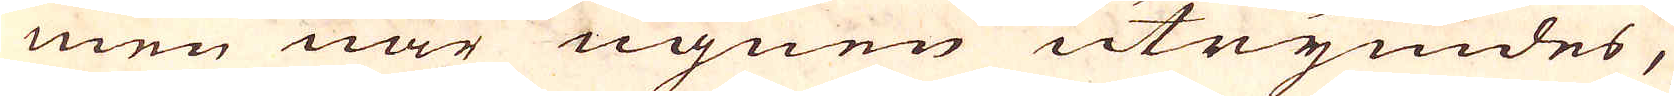men när ugnen utrymdes,
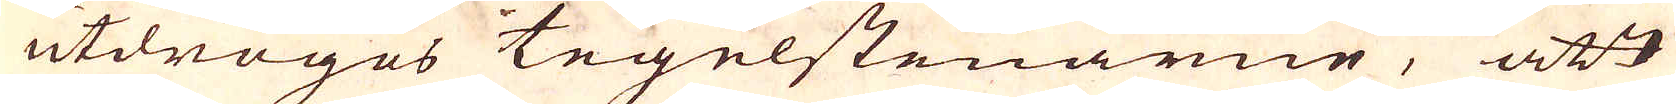utdroges tegelstenarne, att
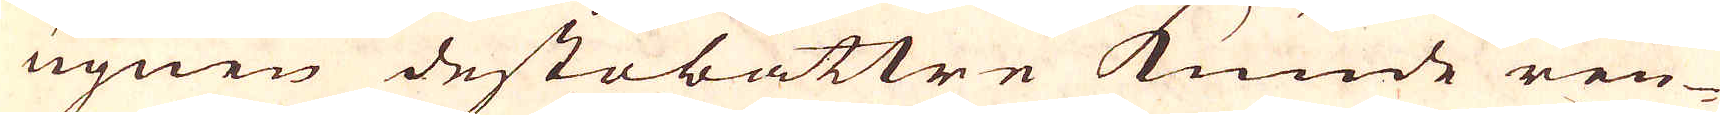ugnen destobättre kunde ren-
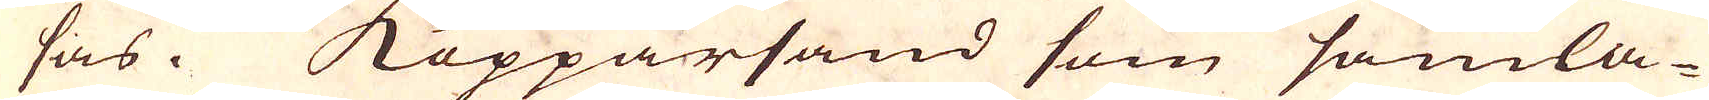sas. Kopparsand som samla-
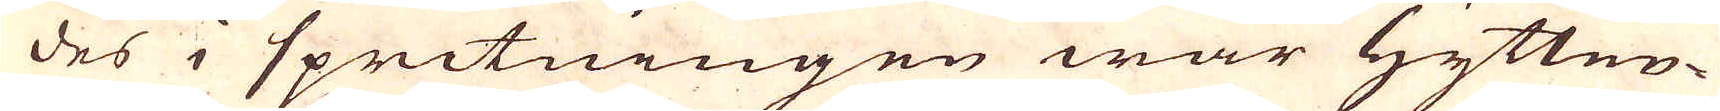des i spritningen war Hytten-
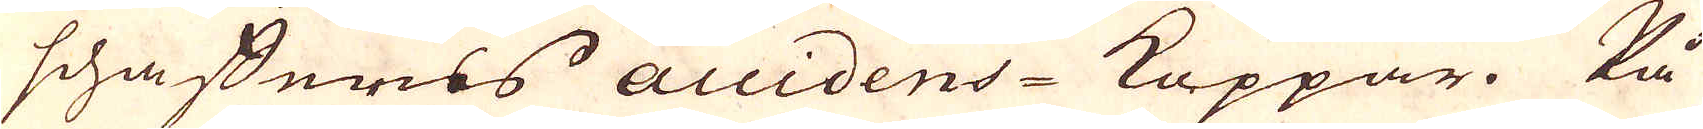schafferns accidens-Koppar. På
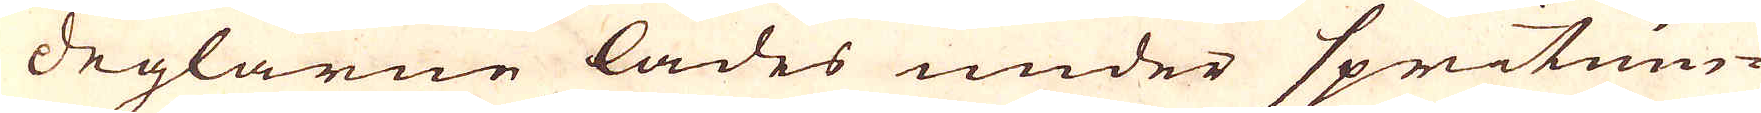deglarne lades under spritnin-
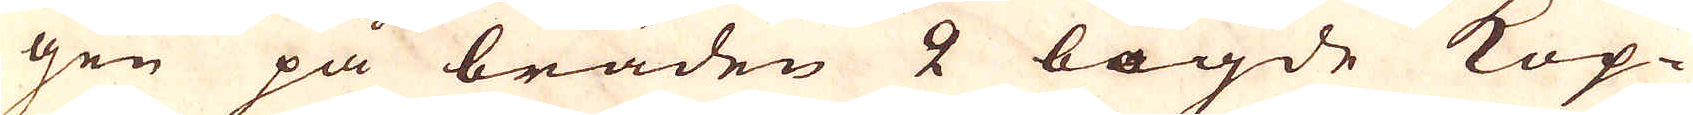gen på bräden 2 bögde Kop-
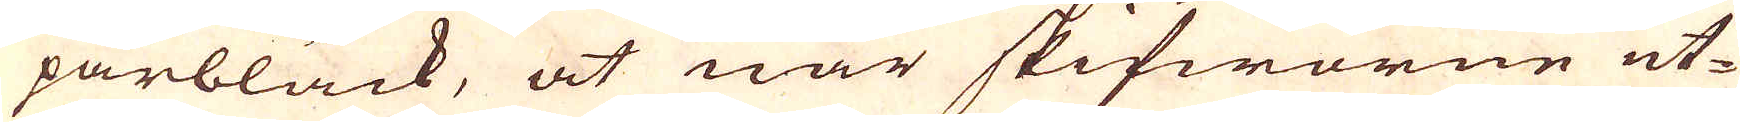parbläck, at när skifworne ut-
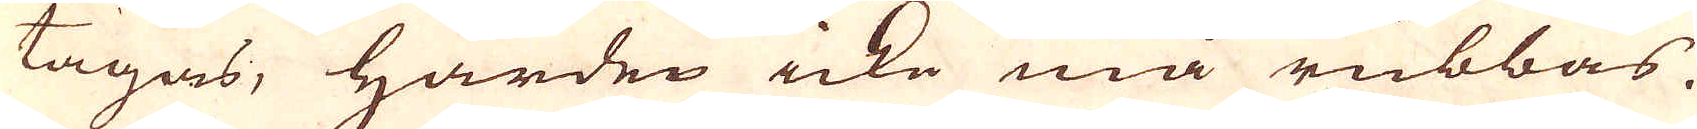tagas, härden icke må rubbas.
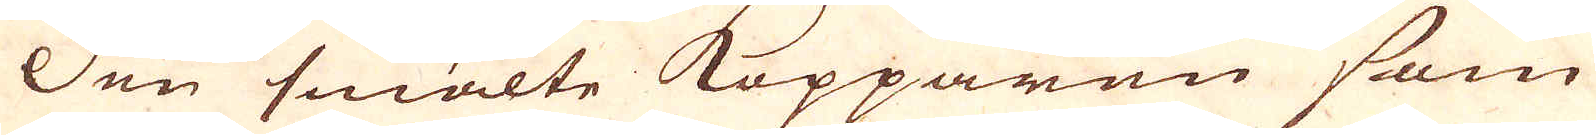Den smälte Kopparen som
